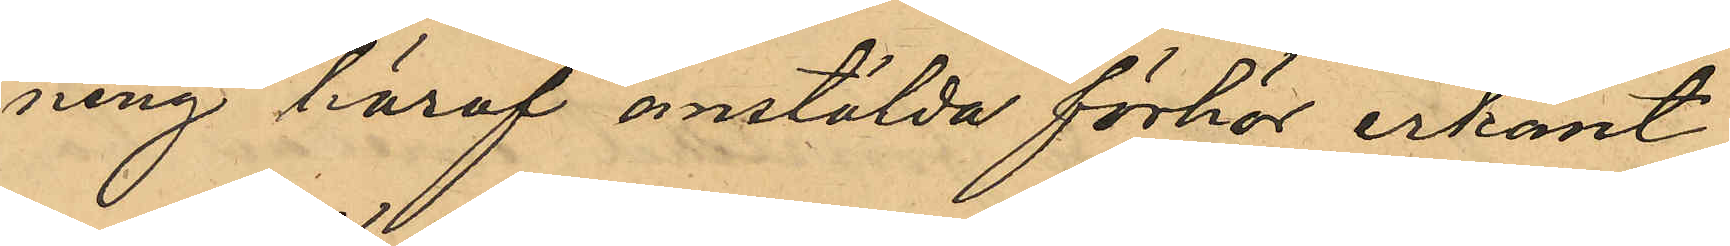ning häraf anstälda förhör erkänt
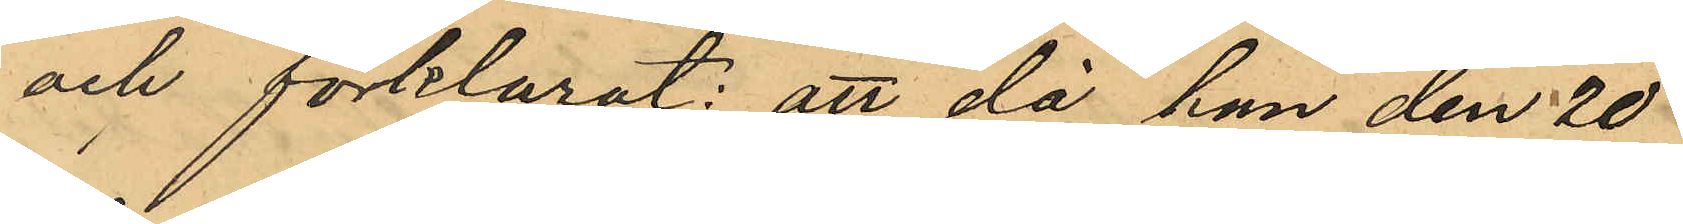och förklarat: att då han den 20
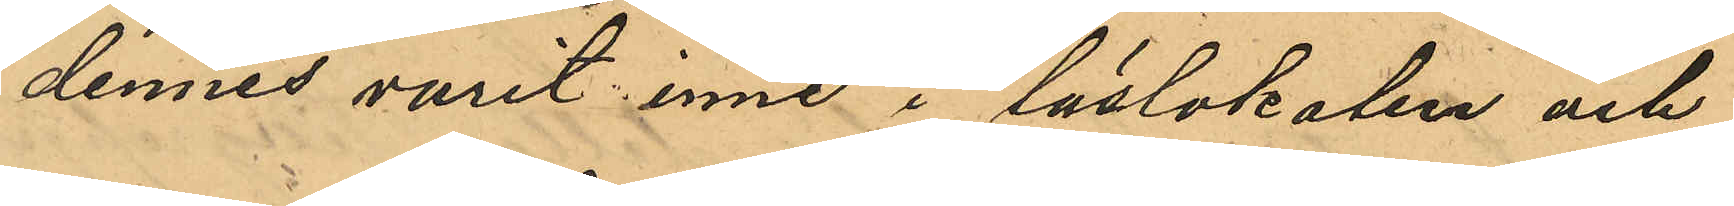dennes varit inne i läslokalen och
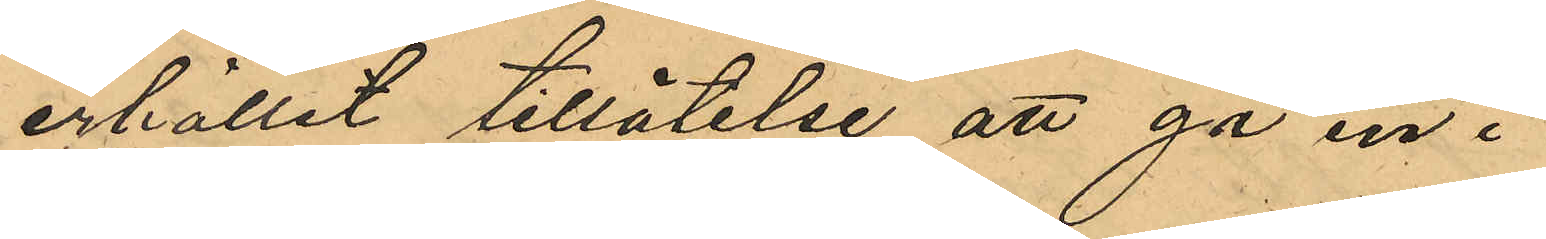erhållit tillåtelse att gå in i
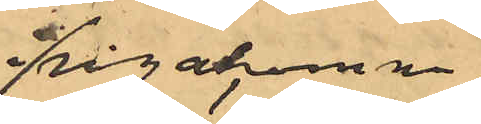frågakomne
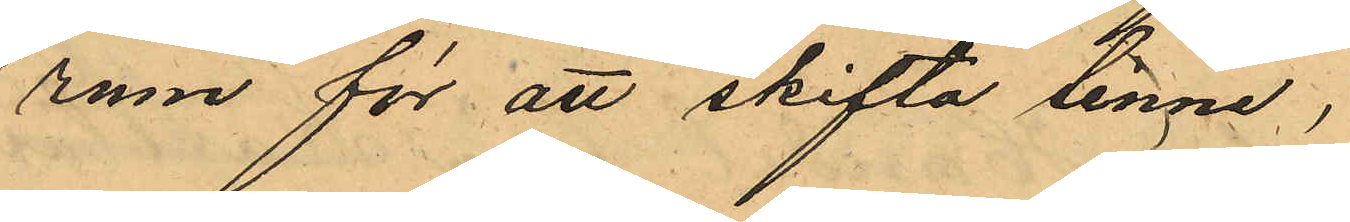rum för att skifta linne;
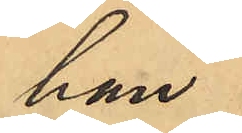han
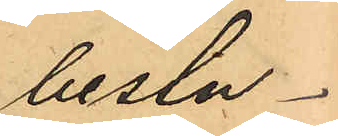beslu¬
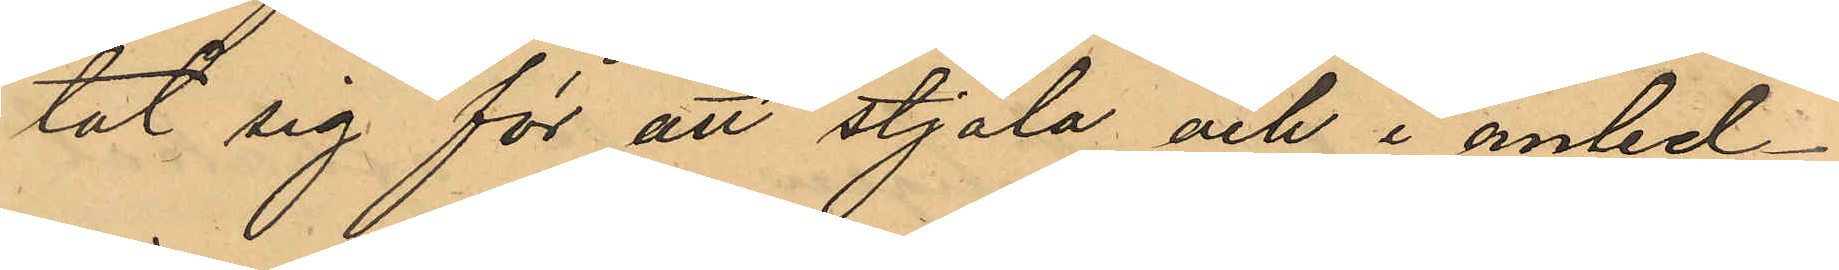tat sig för att stjäla och i anled¬
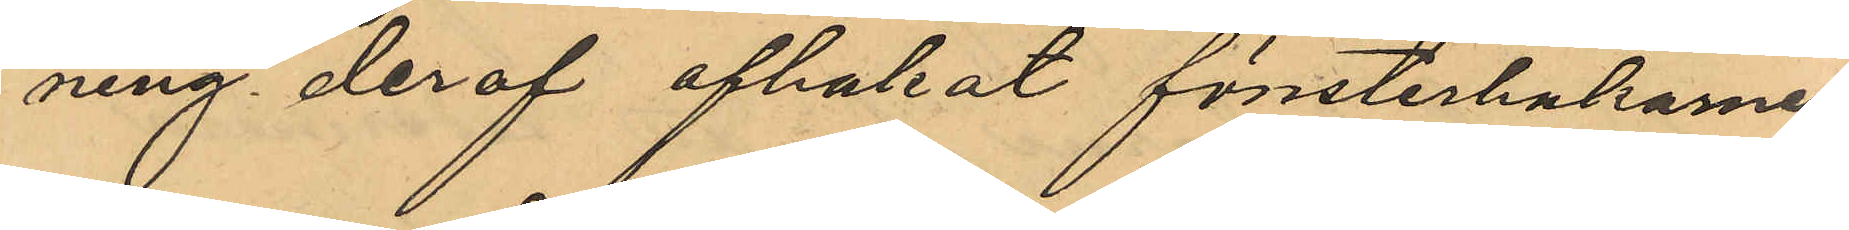ning deraf afhakat fönsterhakarme
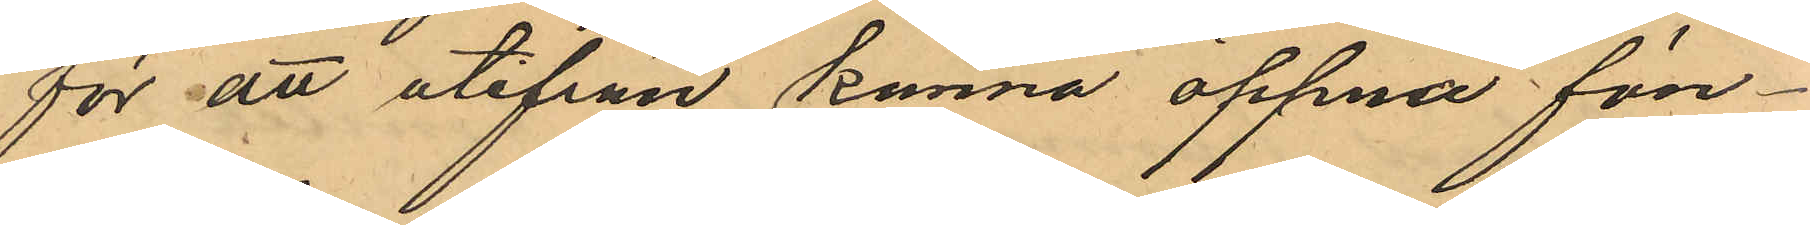för att utifrån kunna öppna fön¬
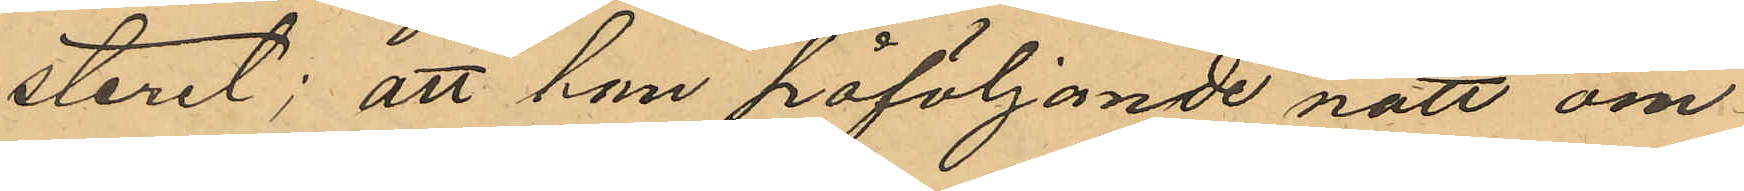steret; att han påföljande natt om¬
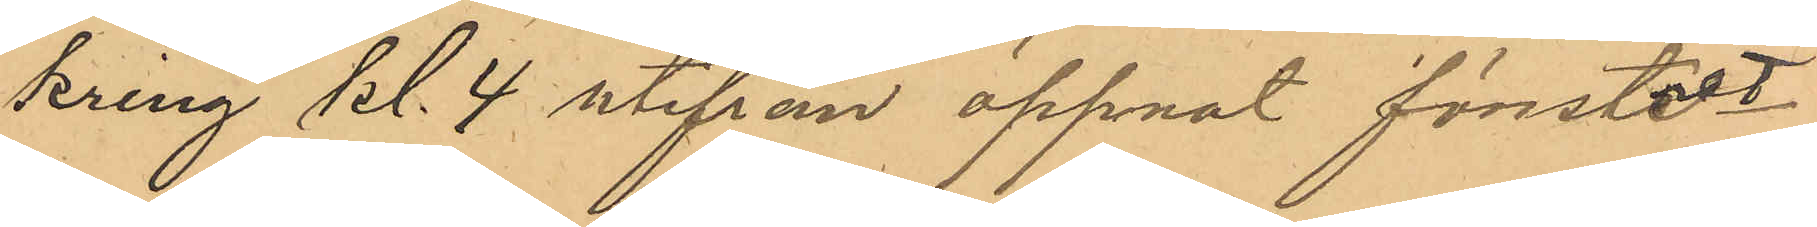kring kl. 4 utifrån öppnat fönstret
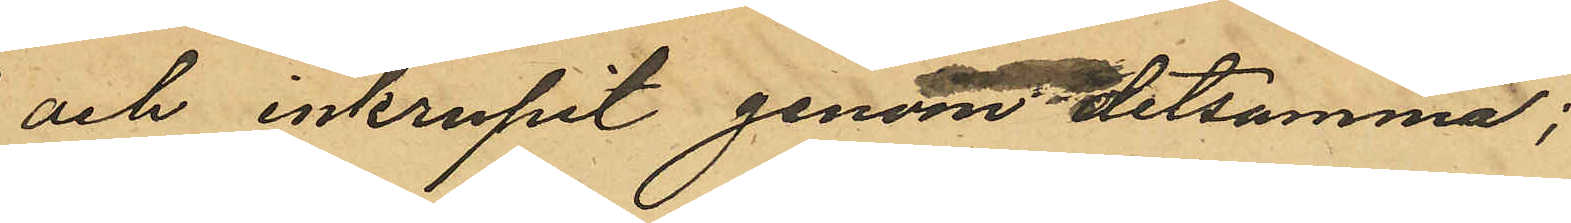och inkrupit genom detsamma;
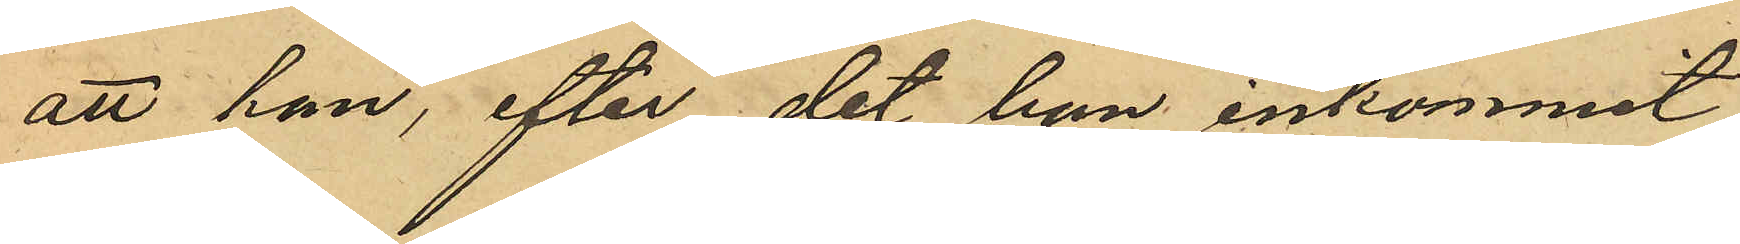att han, efter det han inkommit
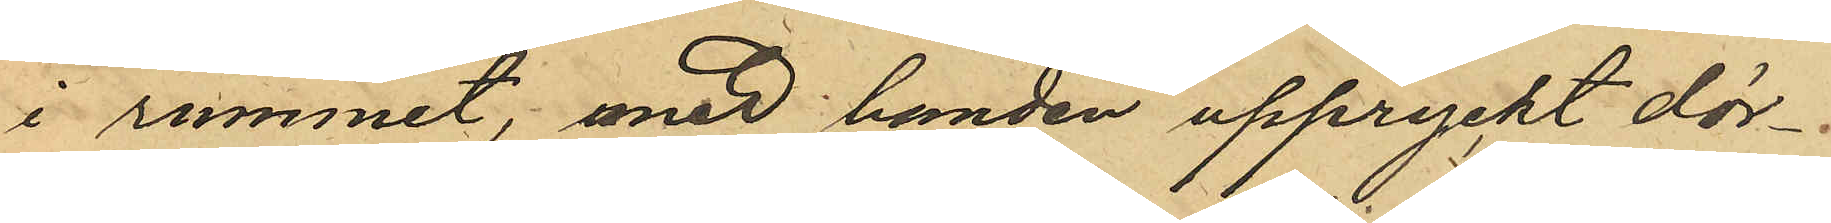i rummet, med handen uppryckt dör¬
